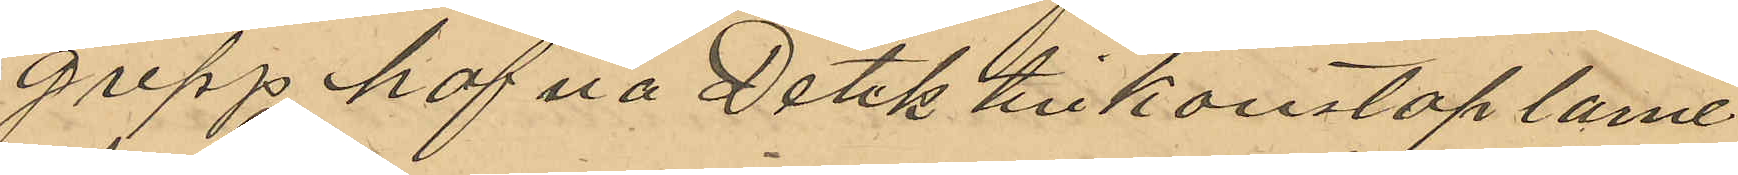grepp hafva Detektivkonstaplarne
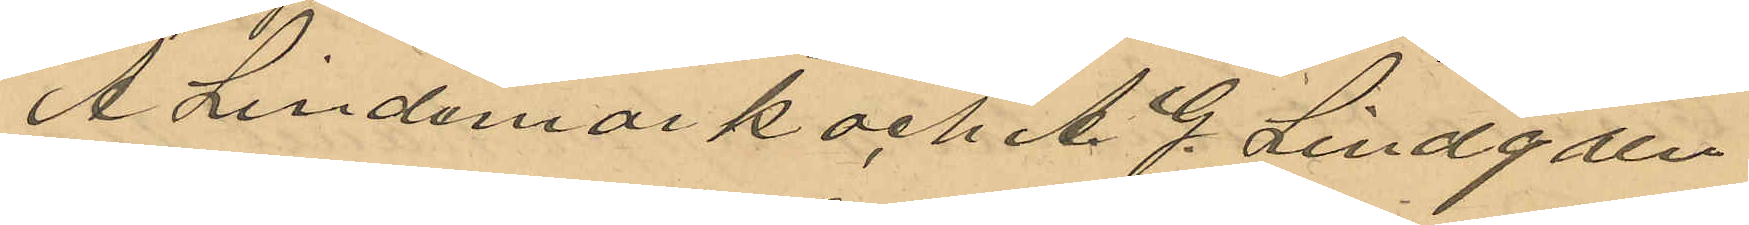A. Lindmark och A. G. Lindgren
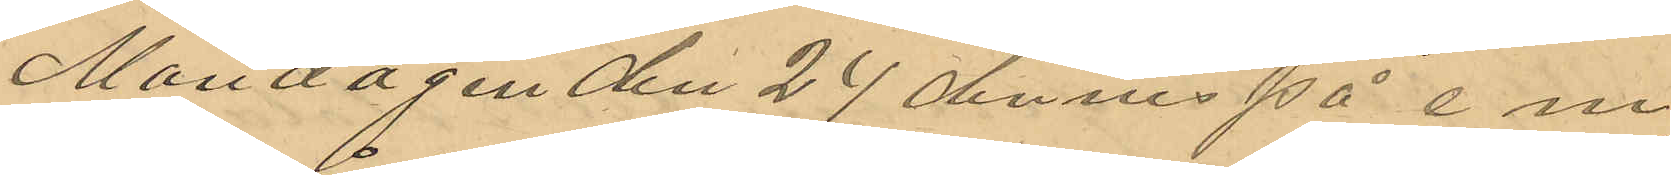Måndagen den 27 dennes på e. m.
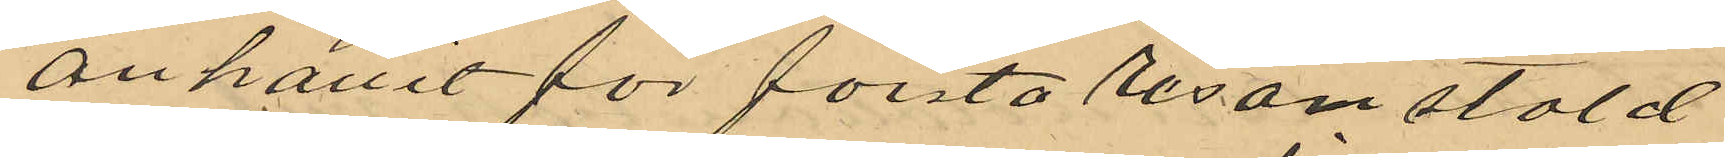anhållit för första resan stöld
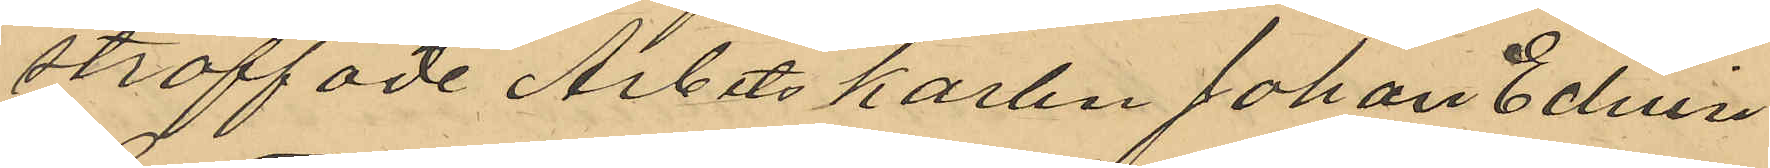straffade Arbetskarlen Johan Edvin
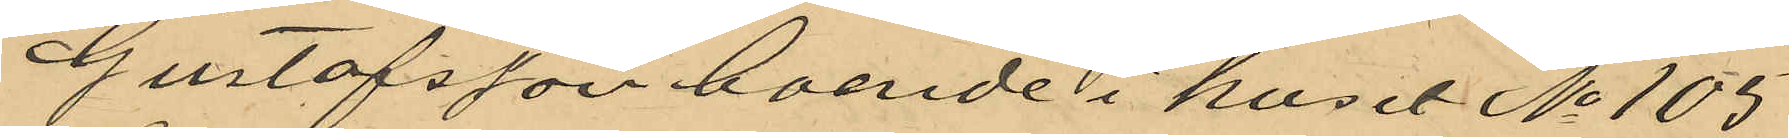Gustafsson boende i huset No 105
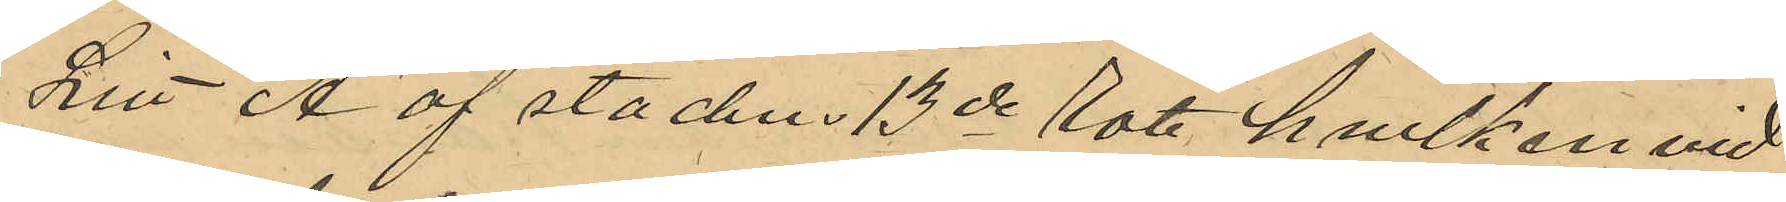Litt A af stadens 13de Rote, hvilken vid
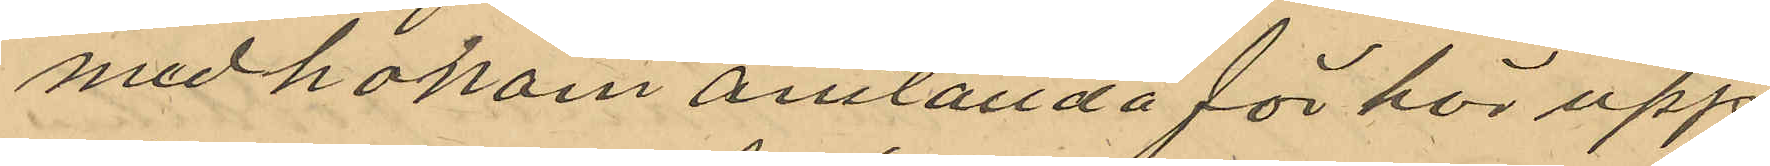med honom anställda förhör upp
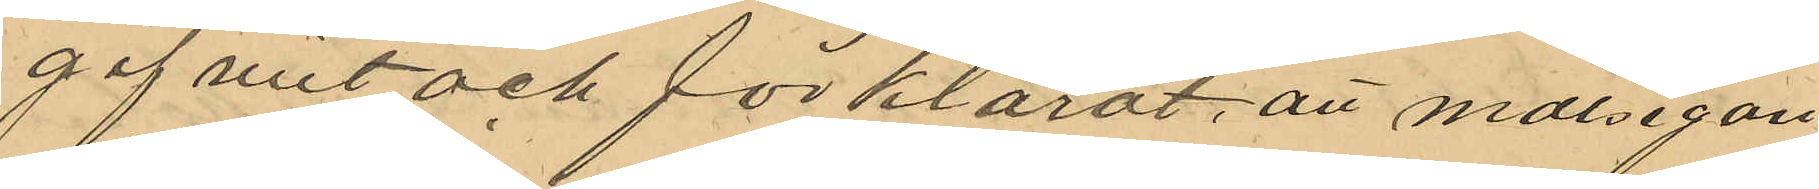gifvit och förklarat, att målsegan¬
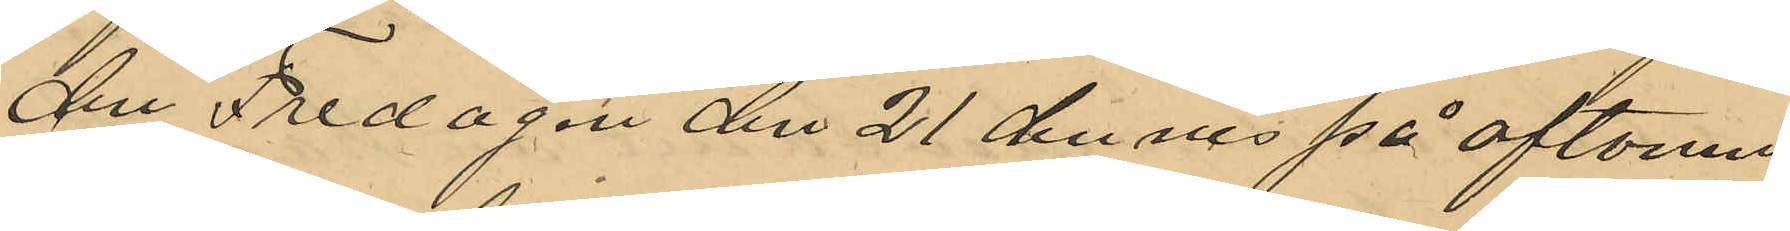den Fredagen den 21 dennnes på aftonen
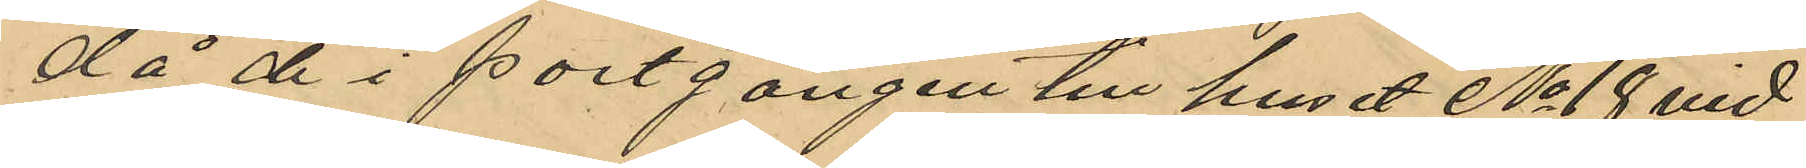då de i portgången till huset No 18 vid
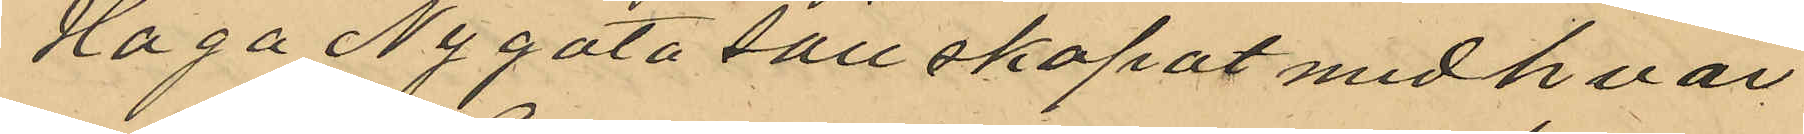Haga Nygata sällskapat med hvar¬
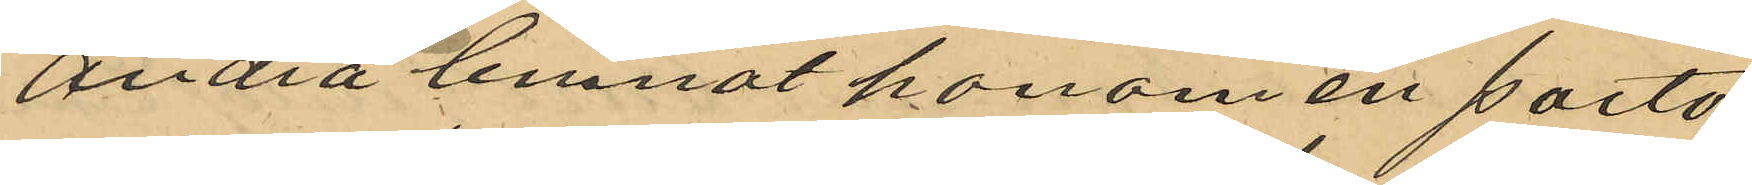andra lemnat honom en porto¬
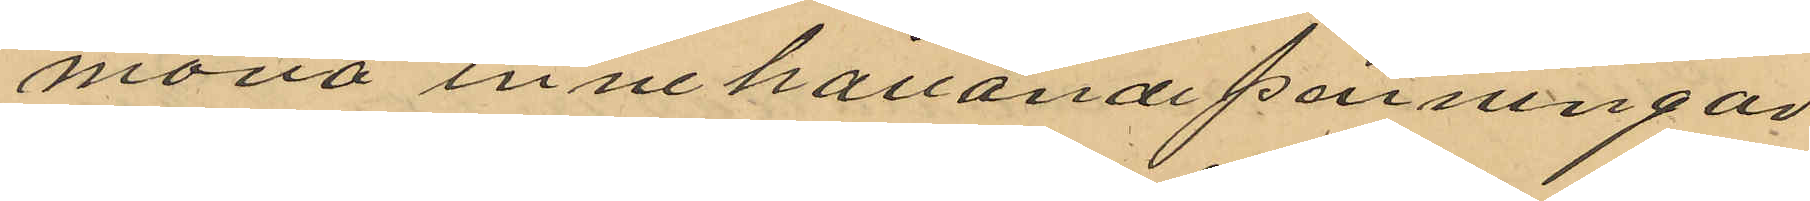monä innehållande penningar
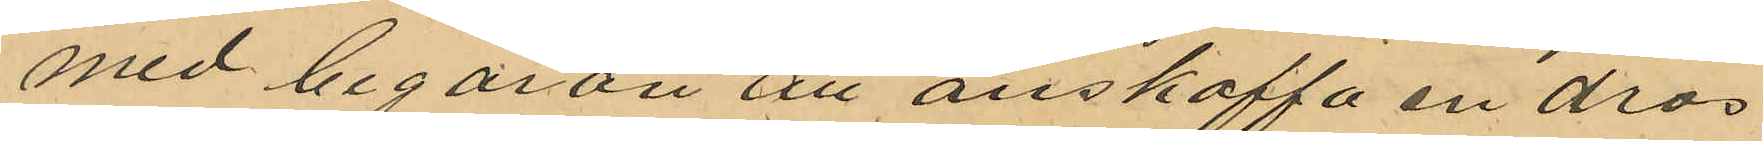med begäran att anskaffa en dros
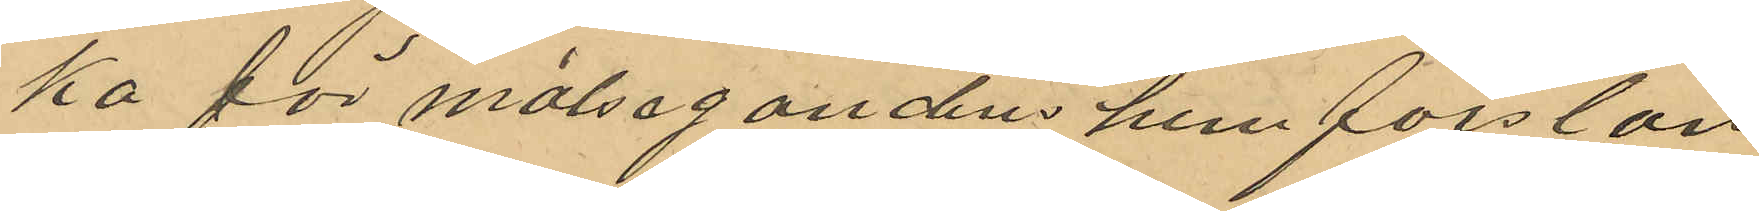ka för målsegandens hemforslan¬
